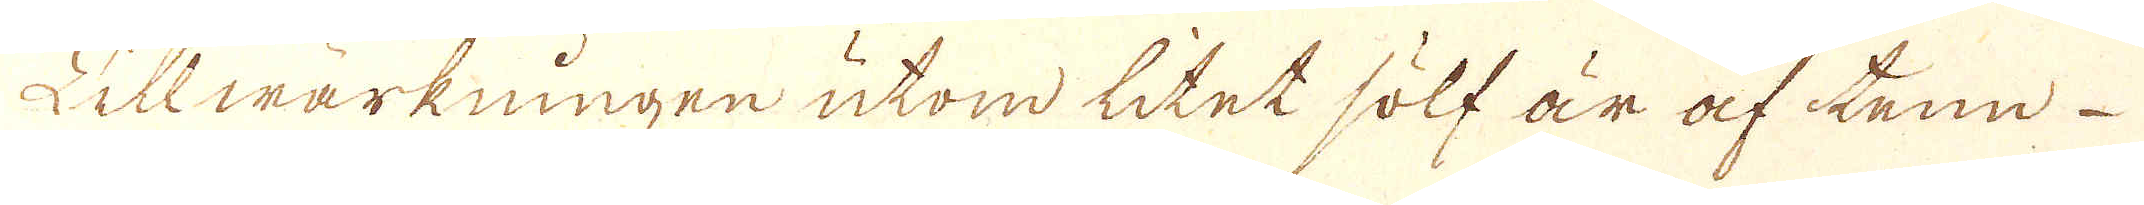Sillwärkningen utom litet sölf är af tenn
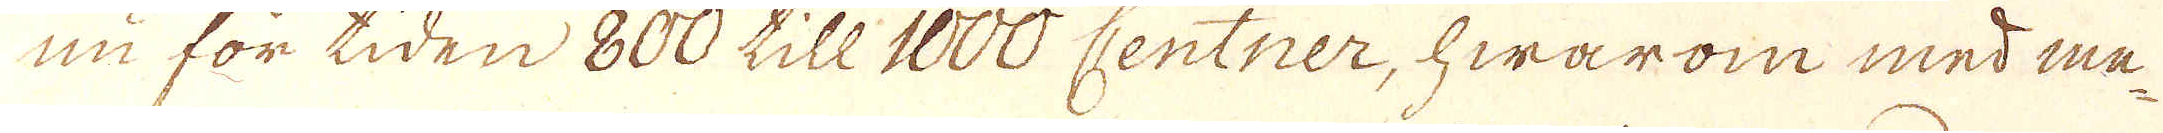nu för tiden 800 till 1000 Centner, hwarom med me-
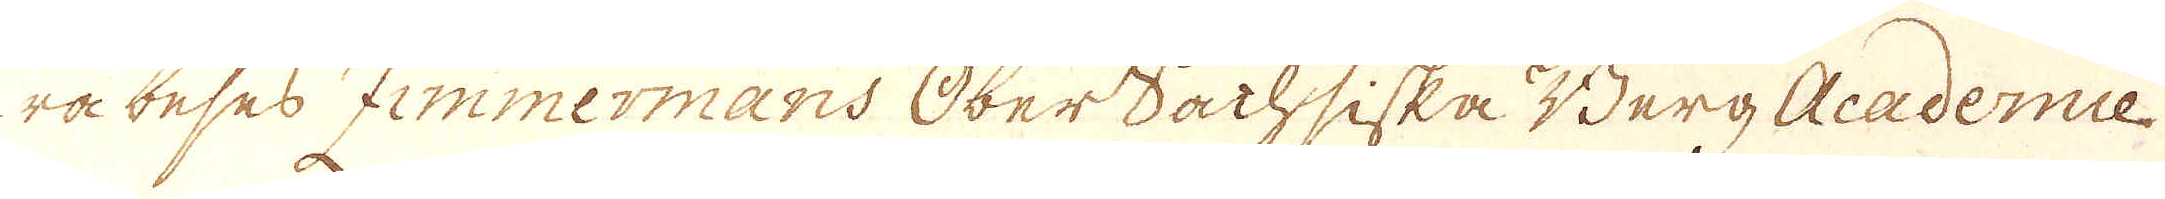ra beses Zimmermans OberSachsiska Berg Academie
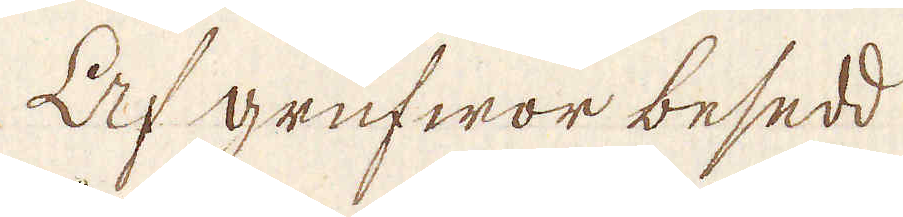Af grufwor besedd
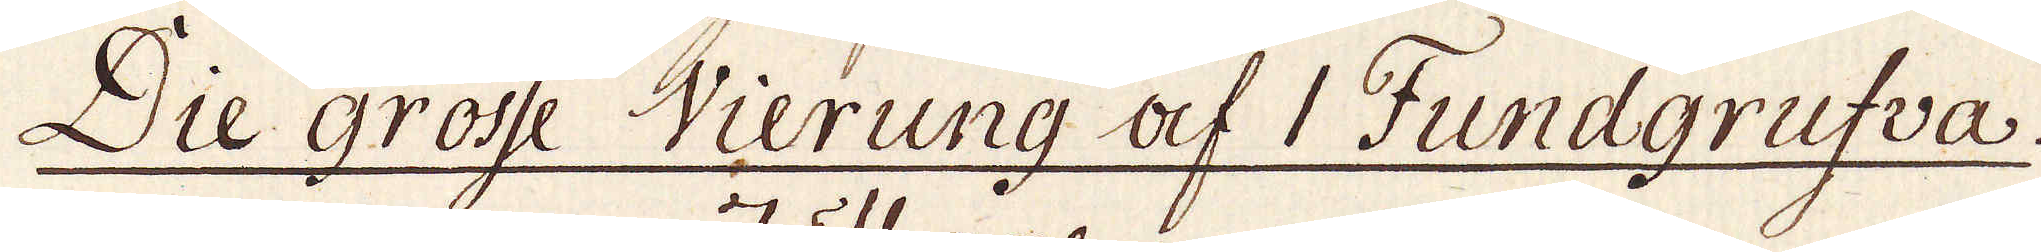Die Grosse Vierung af 1 Fundgrufva.
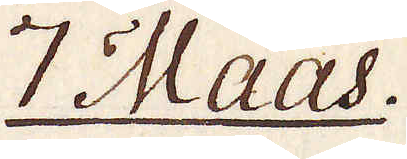7 Maas.
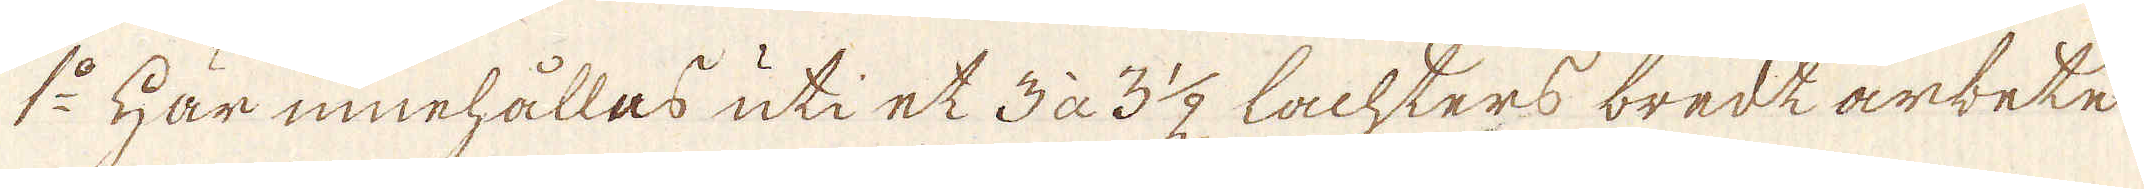1:o Här innehållas uti et 3 à 3 1/2 Lachters bredt arbete
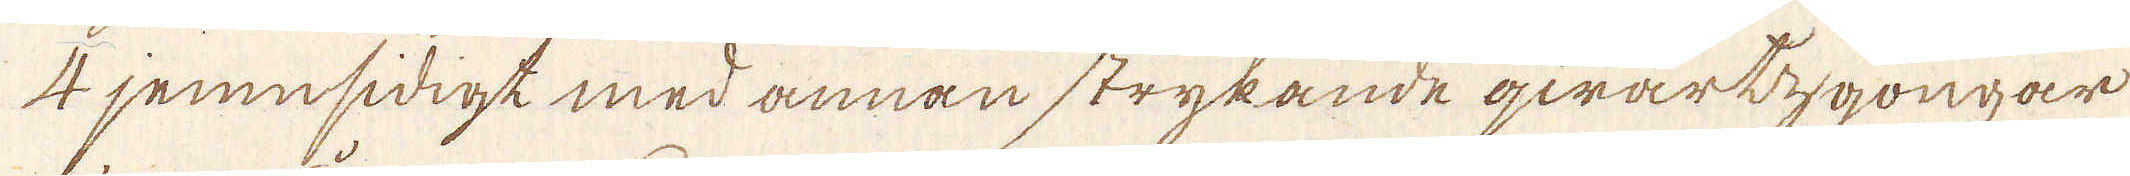4 jemnsidigt med annan strykande qwartzgongar
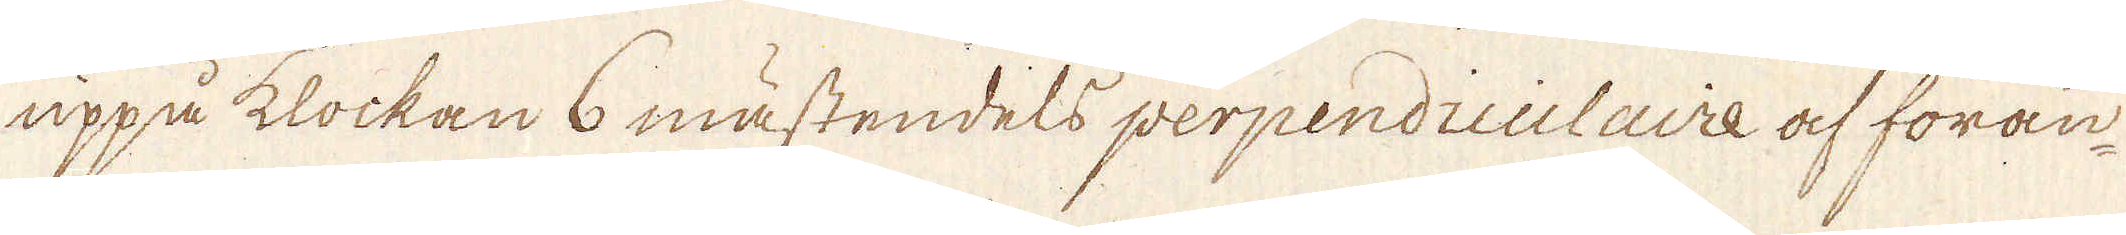uppå klockan 6 mästendels perpendiculaire af föran-
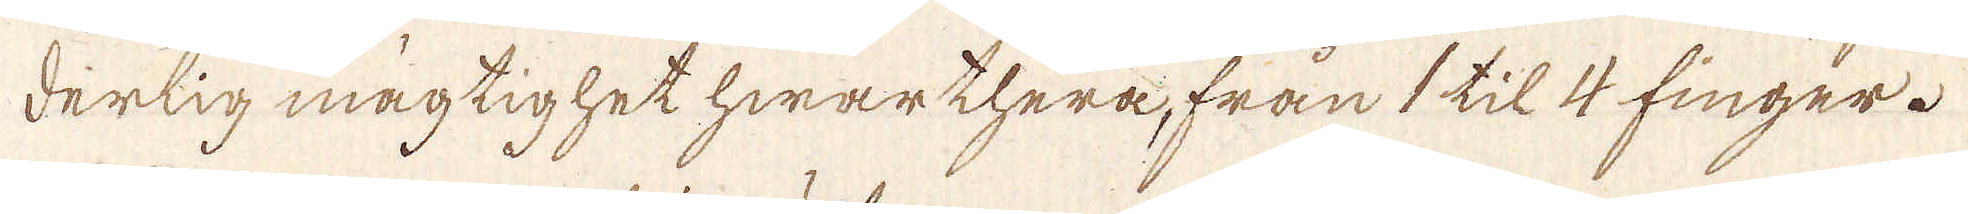derlig mägtighet hwar thera, från 1 til 4 finger.
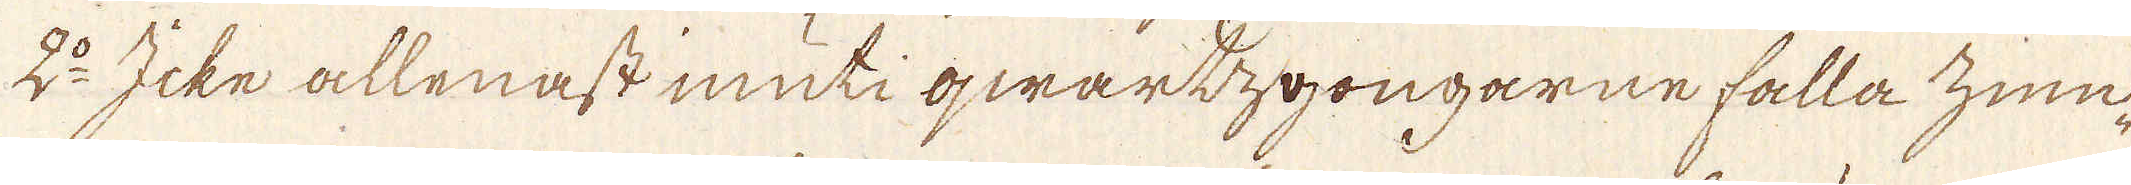2:o Icke allenast inuti qwartzgongarne falla zinn-
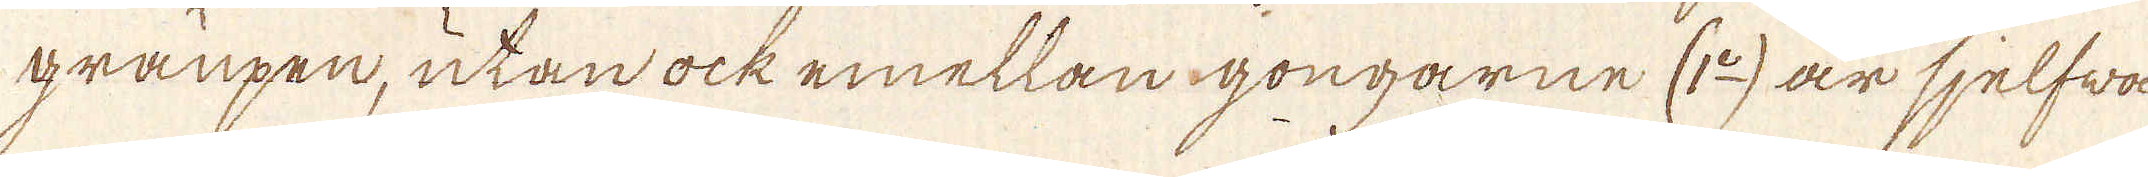granpen, utan ock emellan gongarne (1:o) är sjelfwa
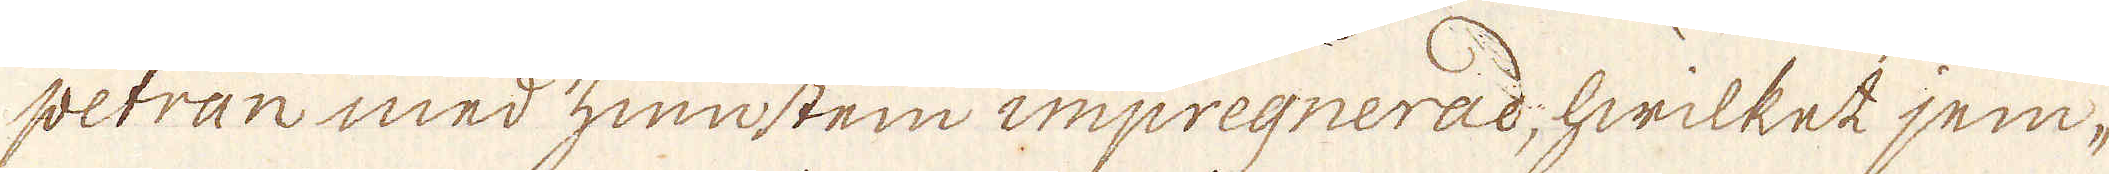petran med zinnsten impregnerad, hwilket jem-
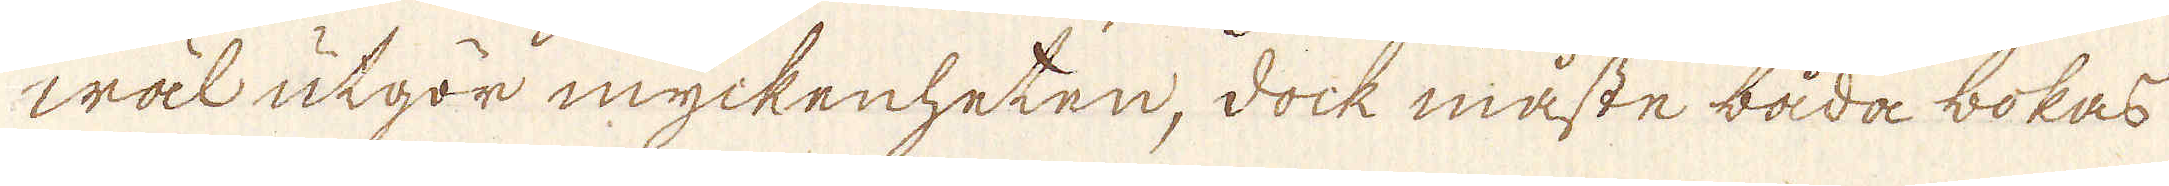wäl utgör myckenheten, dock måste båda bokas
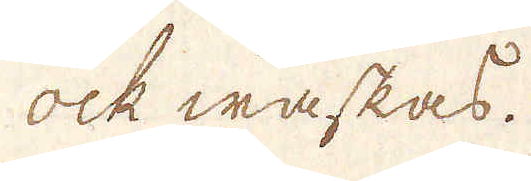ock waskas.
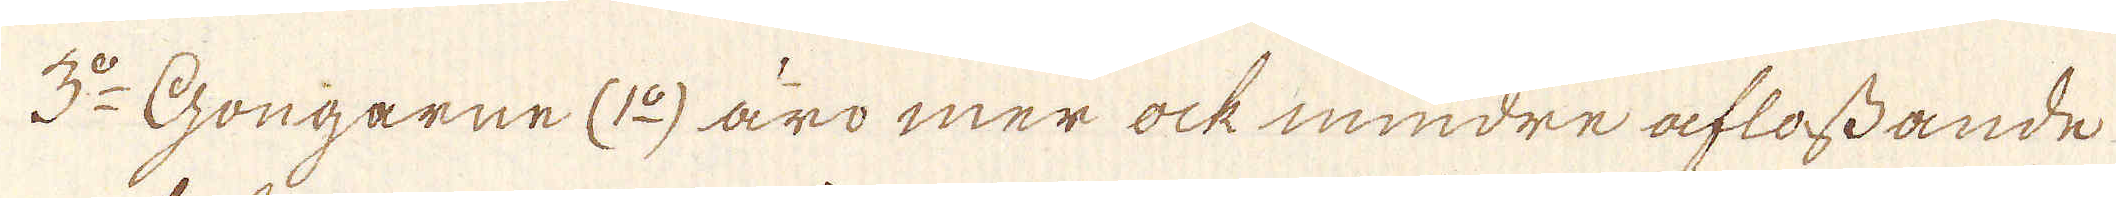3:do Gongarne (1:o) äro mer ock mindre aflossande
